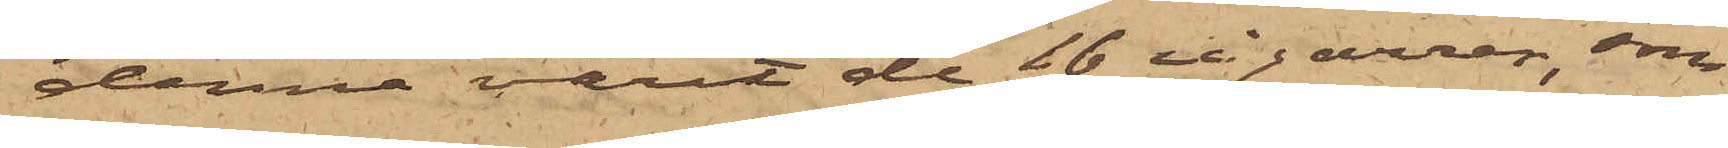denne varit de 16 cigarrenr, som
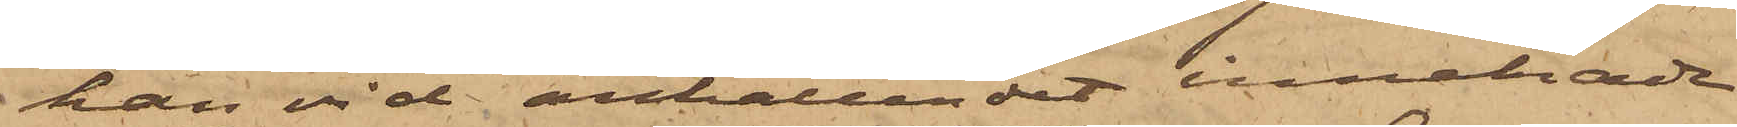han vid anhållandet innehade
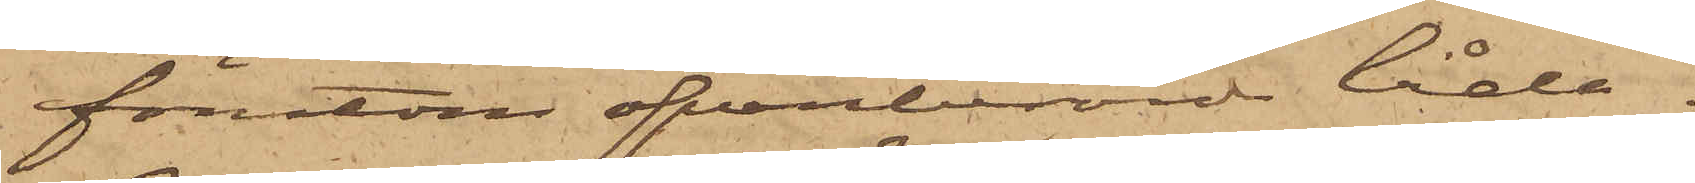förutom ofvanberörde låda.
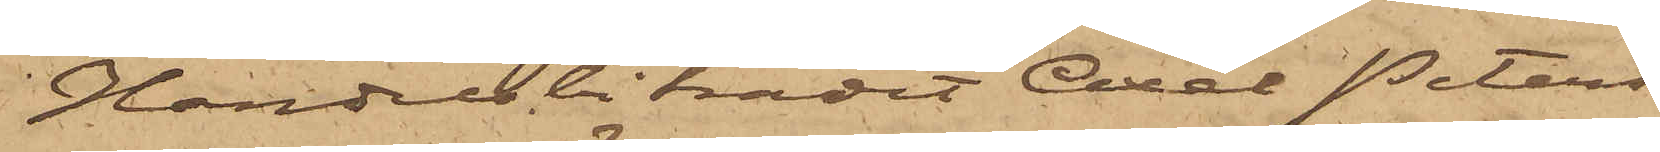Handelsbiträdet Axel Peters¬
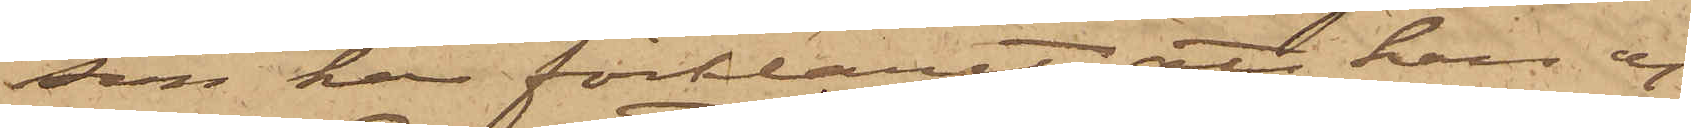son har förklarat, att han ej
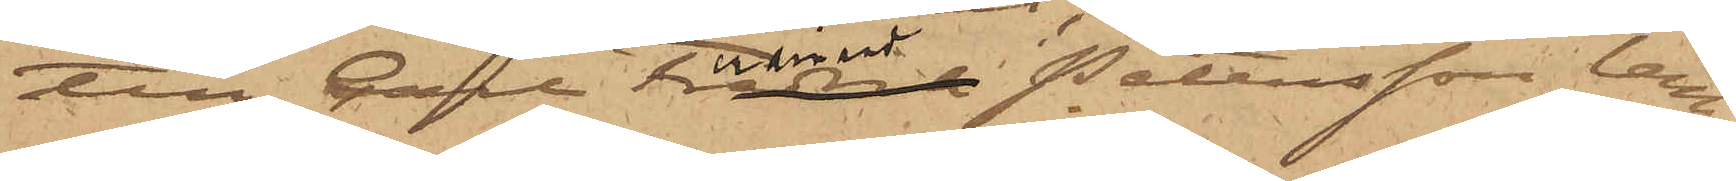till Carl Ferdinand Petersson lem¬
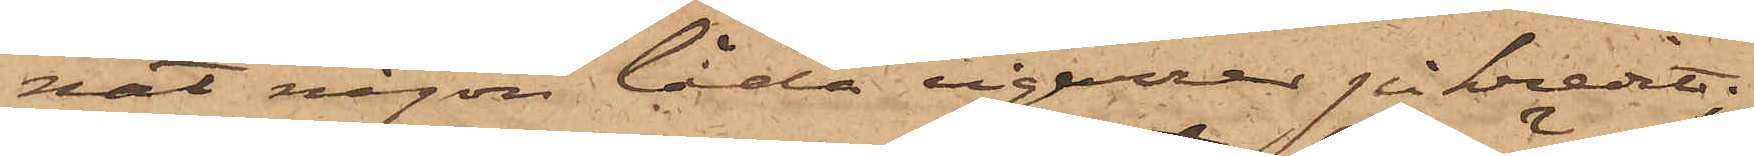nat någon låda cigarrer på kredit;
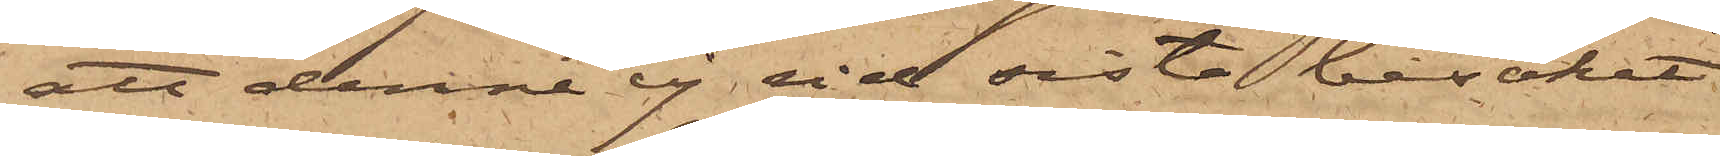att denne ej vid sista besöket
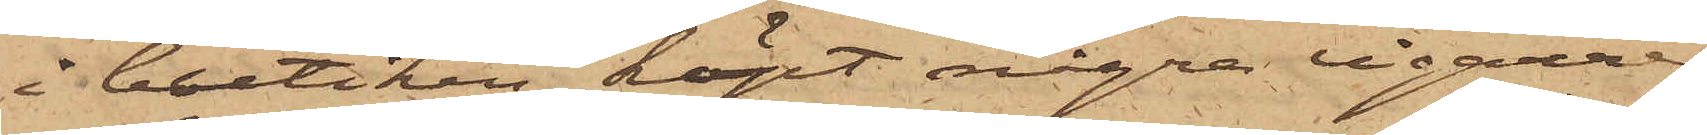i butiken köpt några cigarrer
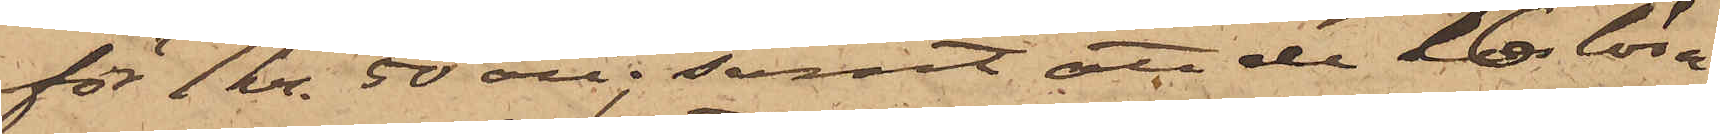för 1 kr. 50 öre; samt att de 16 lösa
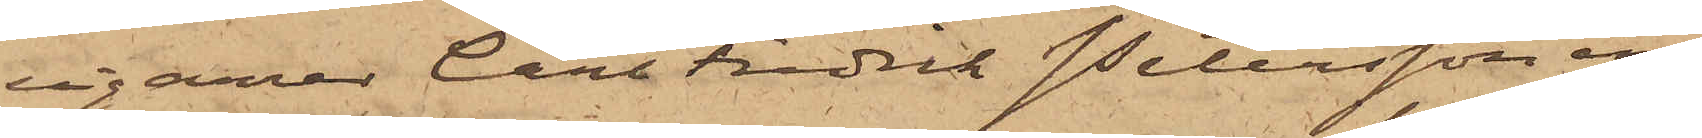cigarrer Carl Fredrik Petersson in¬
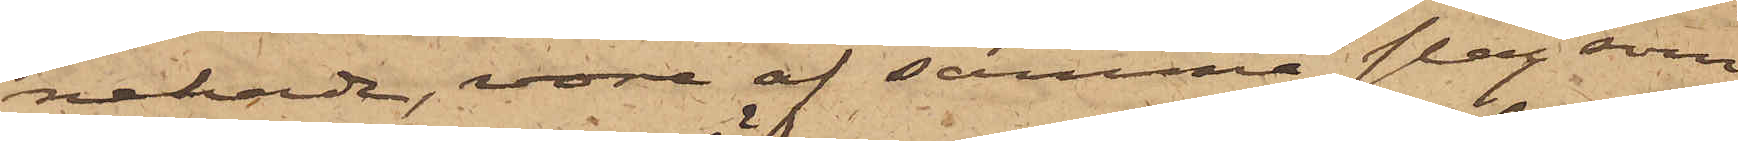nehade, vore af samma slag som
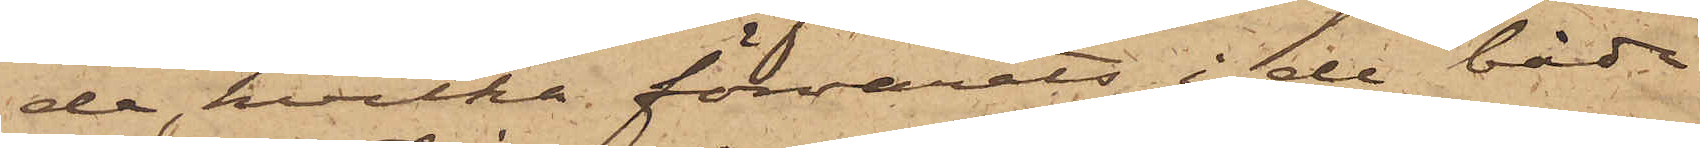de, hvilka förvarats i de båda
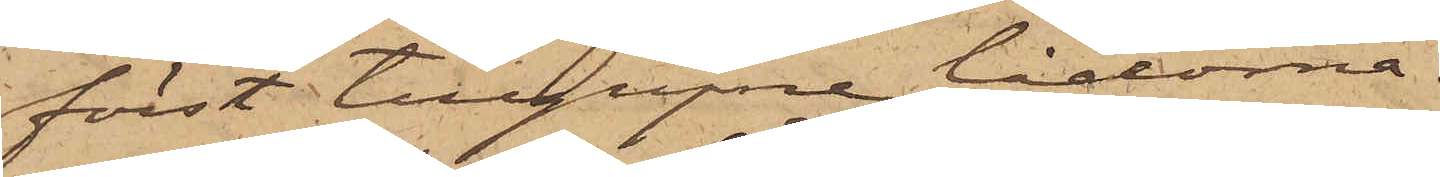först tillgripne lådorna.
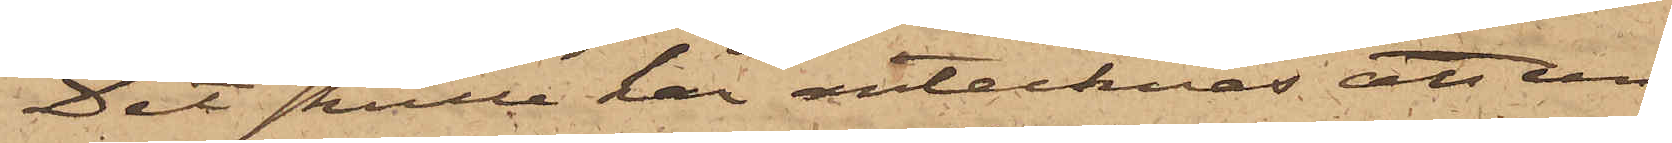Det skulle här antecknas, att un¬
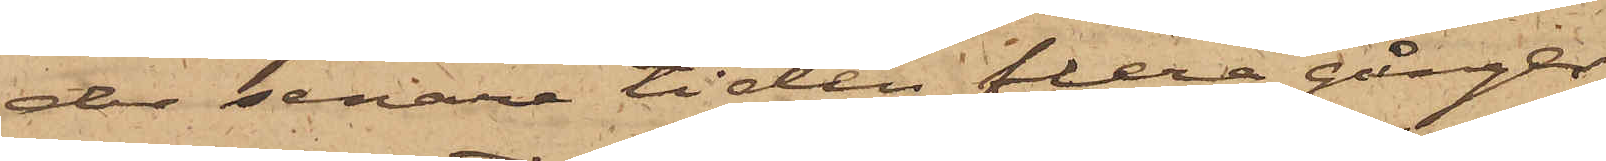der senare tiden flera gånger
